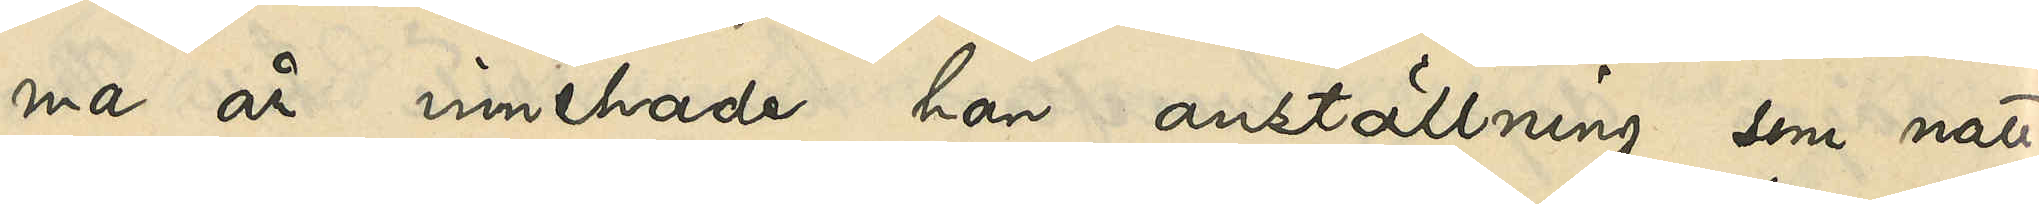ma år innehade han anställning som natt¬
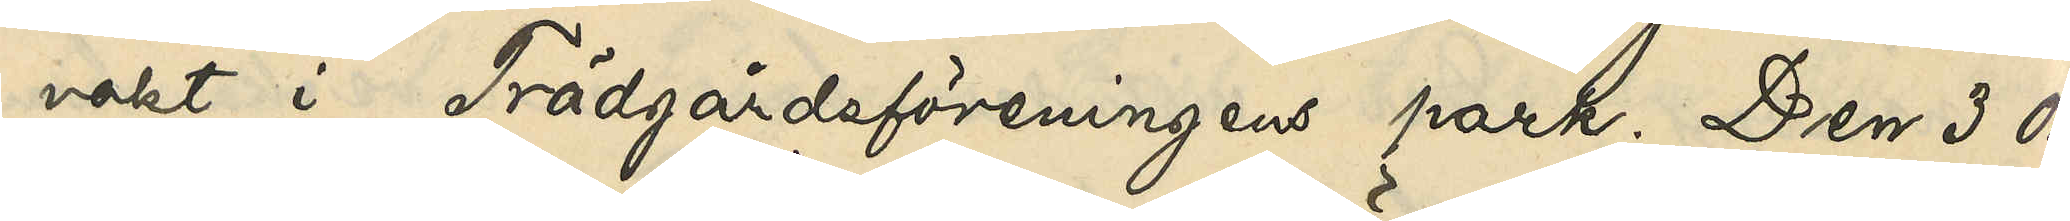vakt i Trädgårdsföreningens park. Den 3 Ok¬
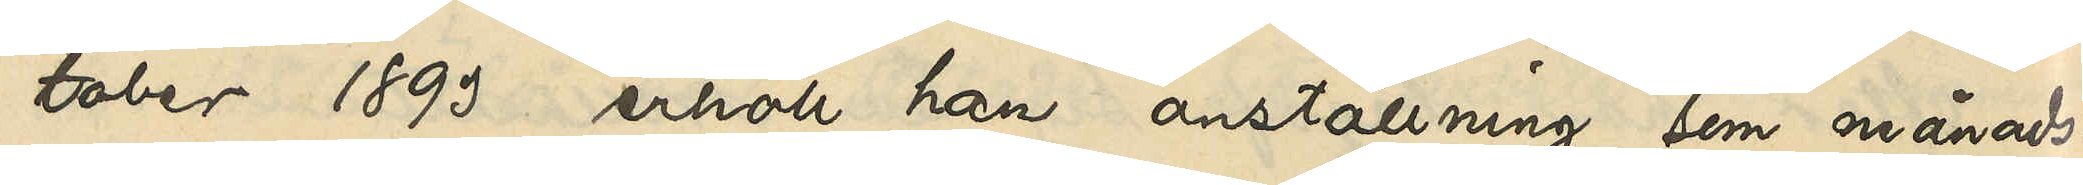tober 1893 erhöll han anställning som månads¬
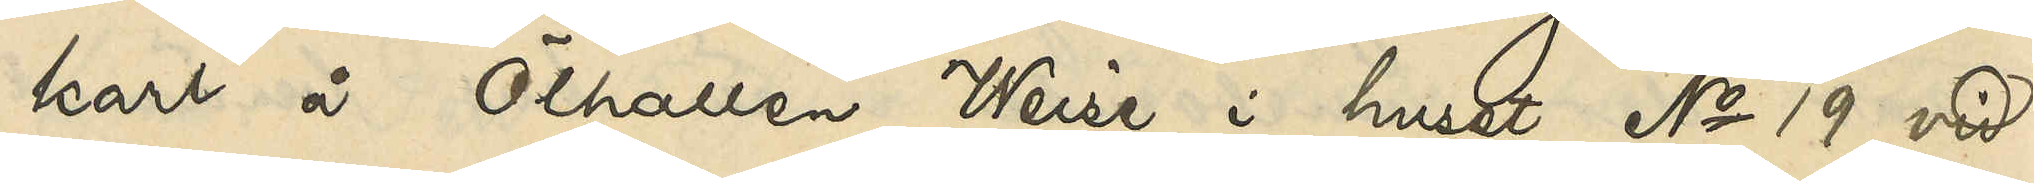karl å Ölhallen Weise i huset No 19 vid
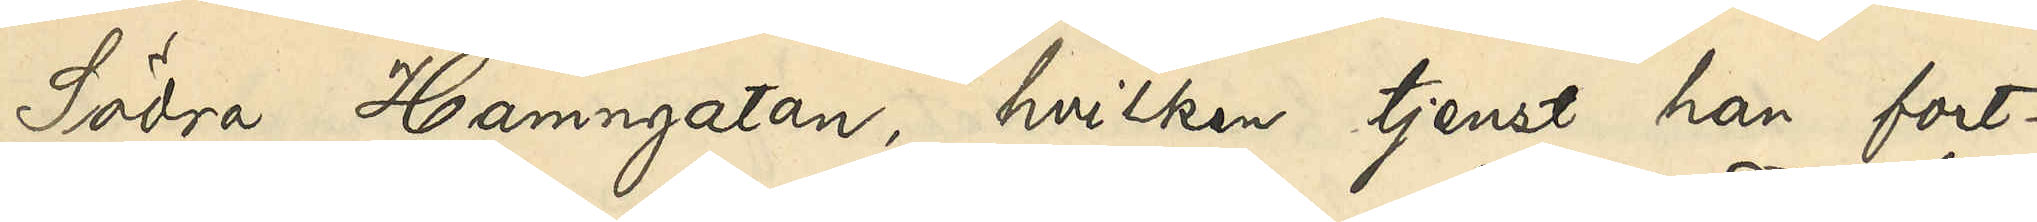Södra Hamngatan, hvilken tjenst han fort¬
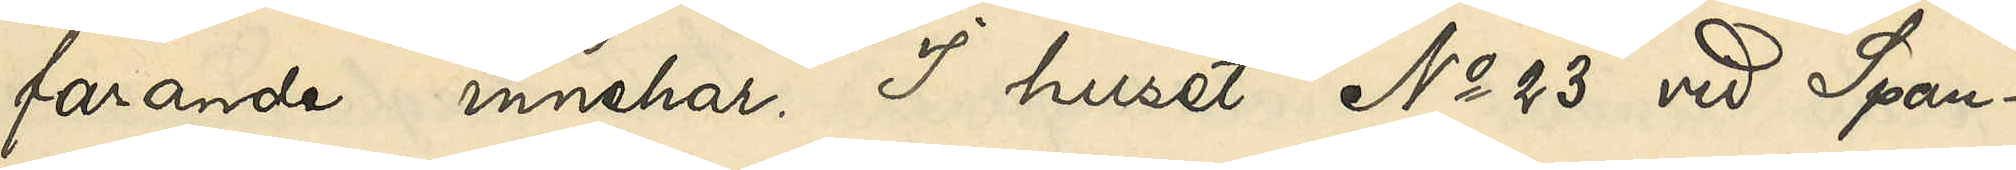farande innehar. I huset No 23 vid Spann¬
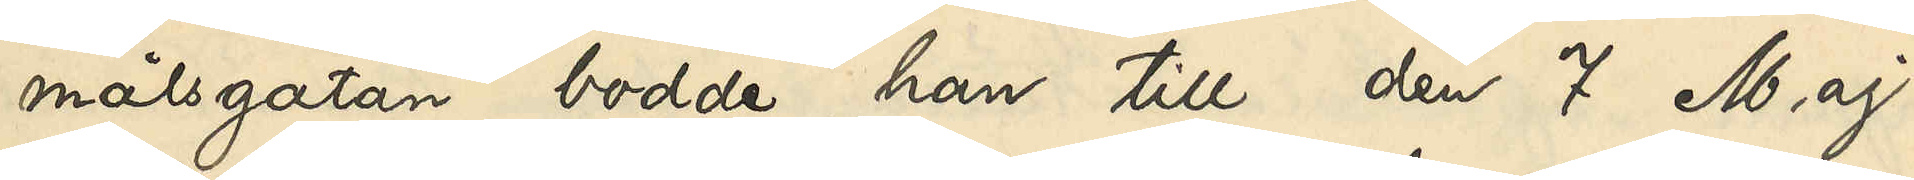målsgatan bodde han till den 7 Maj
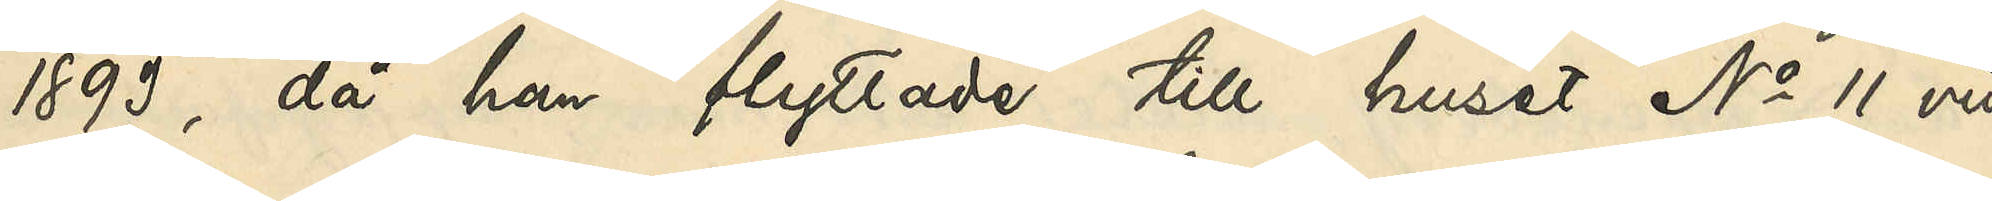1893, då han flyttade till huset No 11 vid
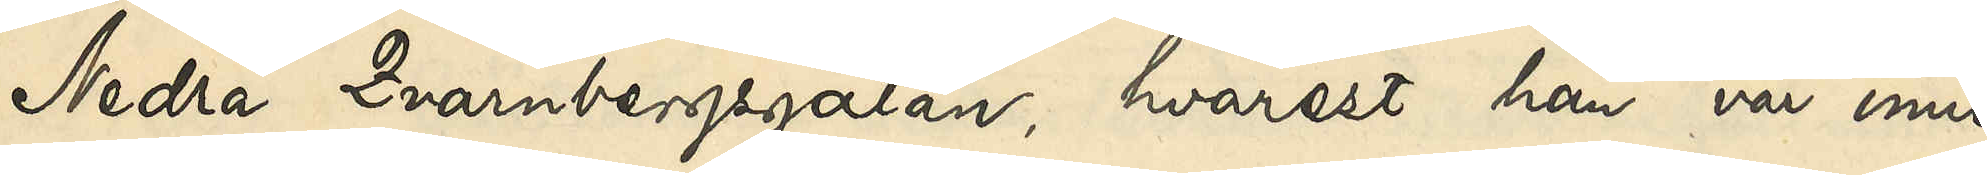Nedra Qvarnbergsgatan, hvarest han var inne¬
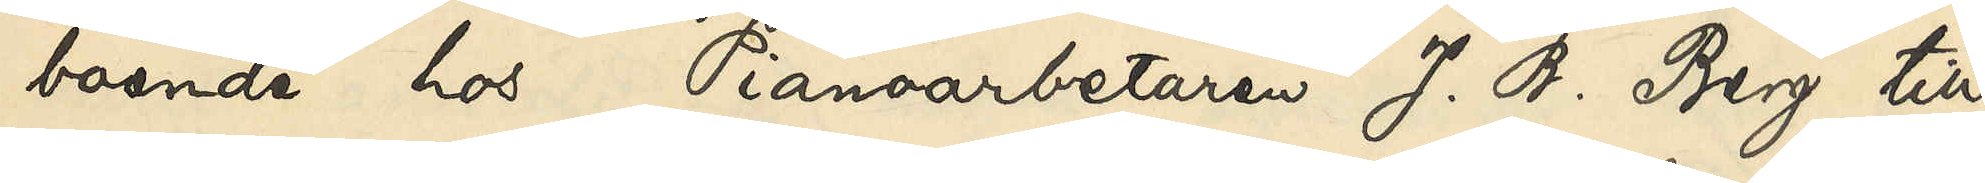boende hos Pianoarbetaren J. B. Berg till
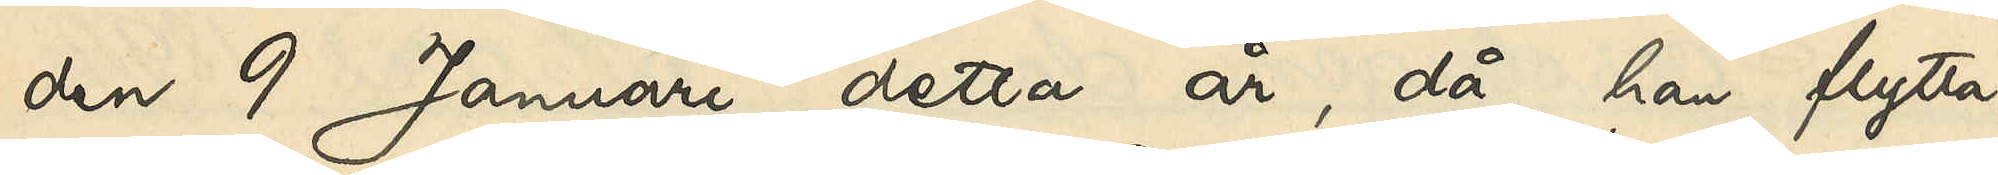den 9 Januari detta år, då han flytta¬
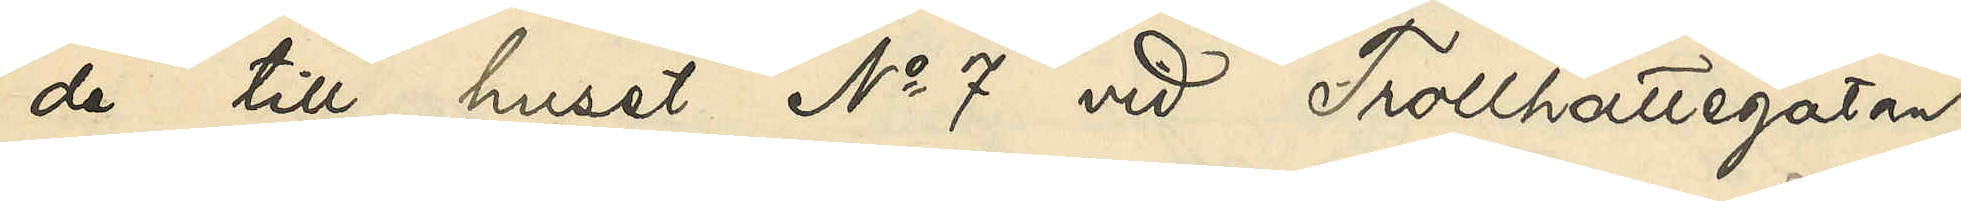de till huset No 7 vid Trollhättegatan,
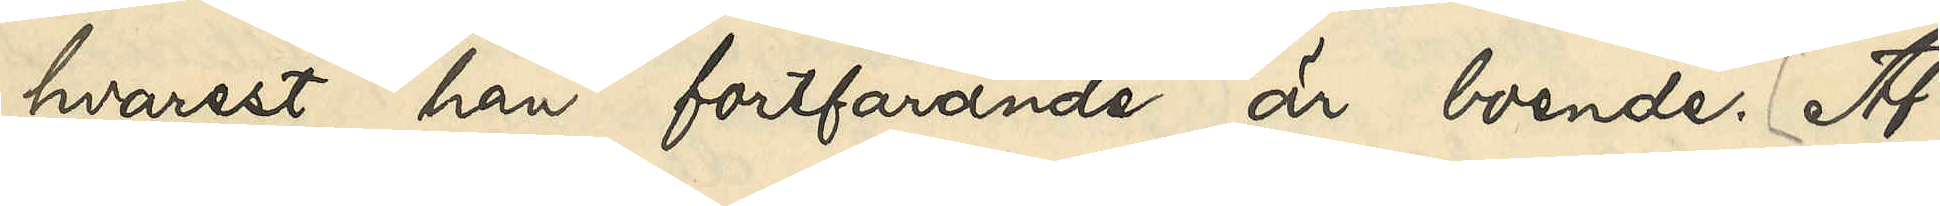hvarest han fortfarande är boende. Af 
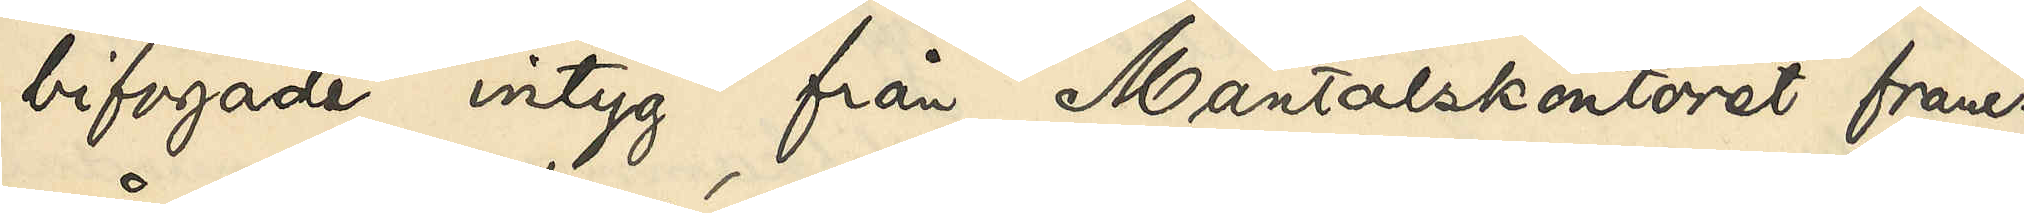bifogade intyg från Mantalskontoret fram¬
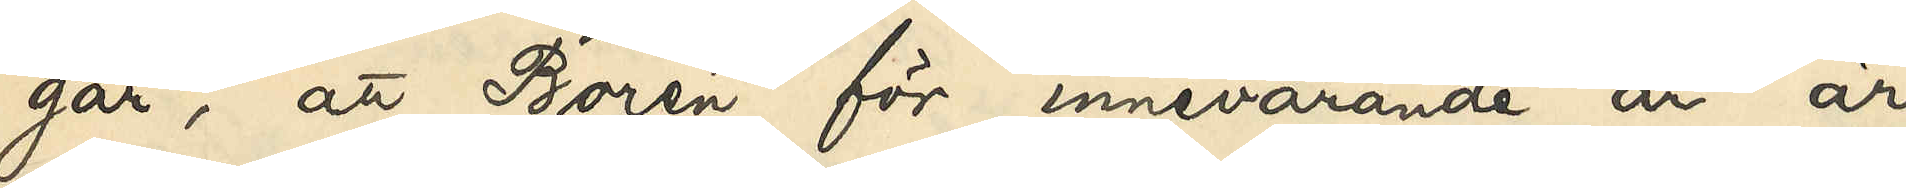går, att Borén för innevarande år är
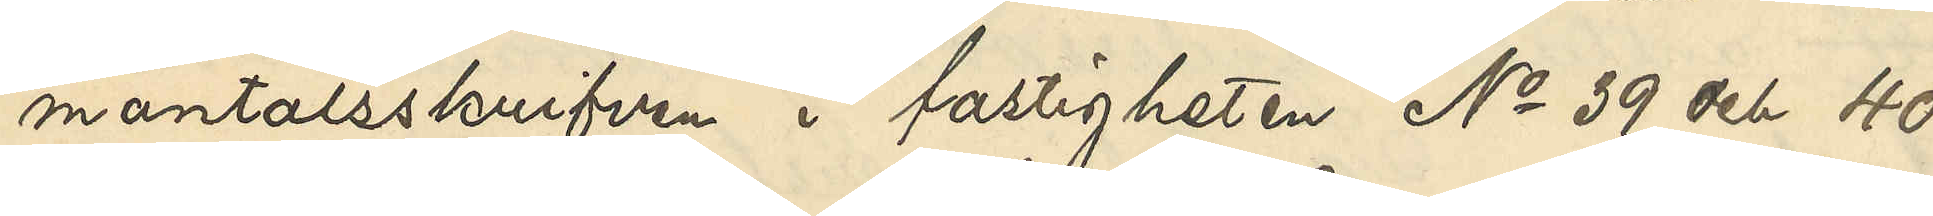mantalsskrifven i fastigheten No 39 ch 40
